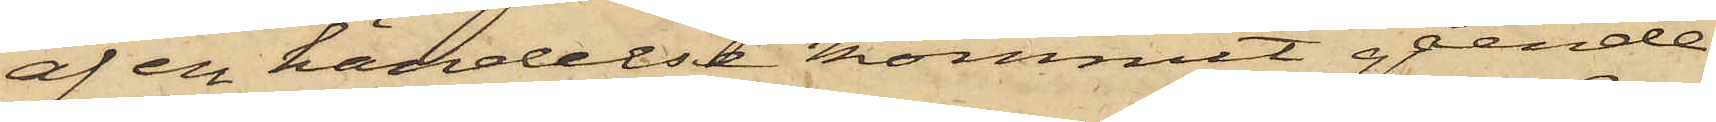af en händelse kommit gående
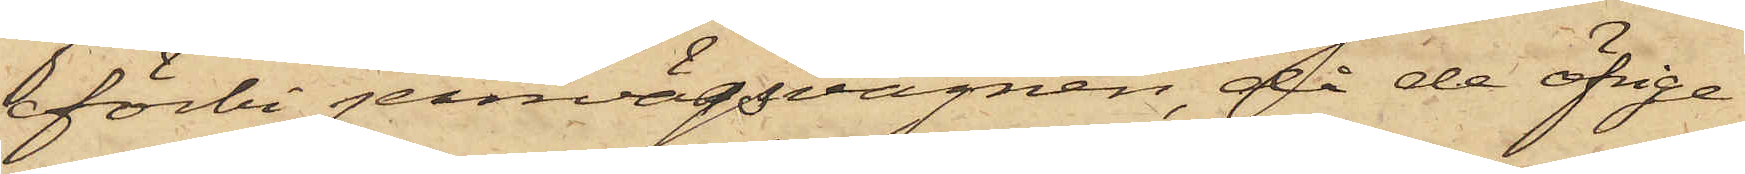förbi jernvägsvagnen, då de öfrige
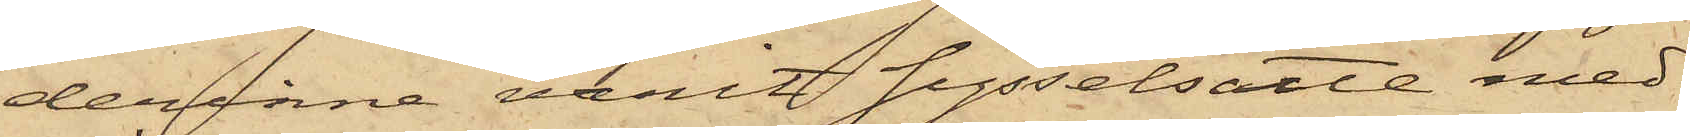derinne varit sysselsatte med
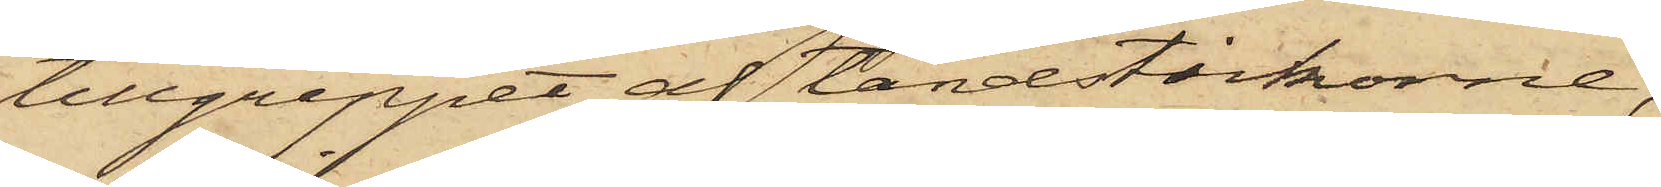tillgreppet af tändstickorne,
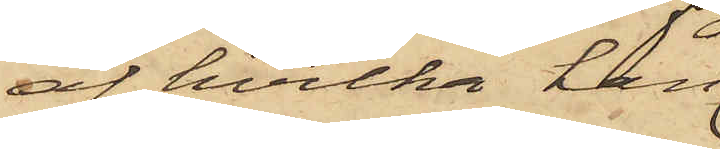af hvilka han
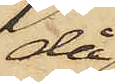då
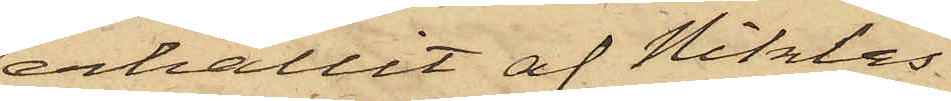erhållit af Niklas
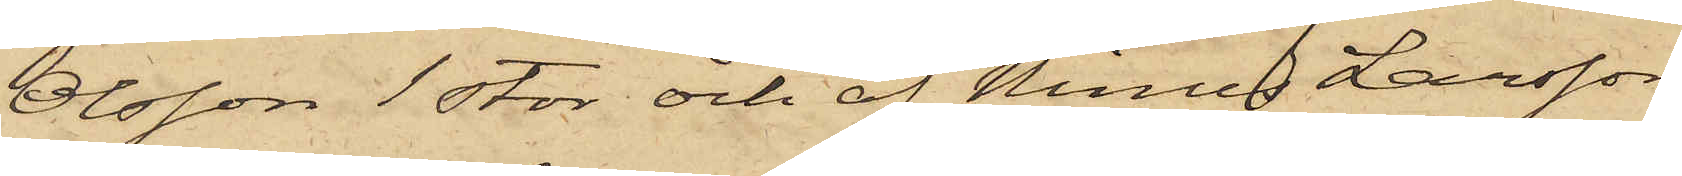Olsson 1 stor och af Ninus Larsson
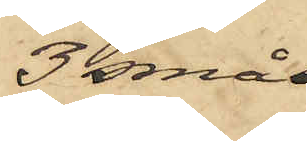3 små
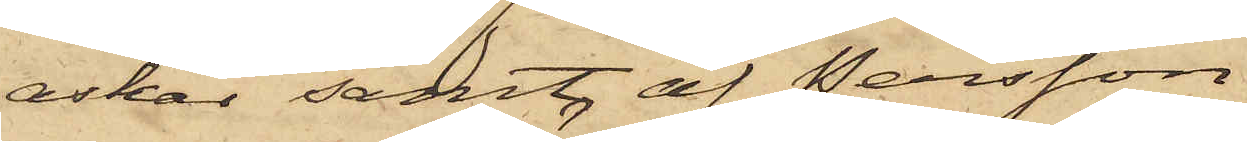askar samt af Persson
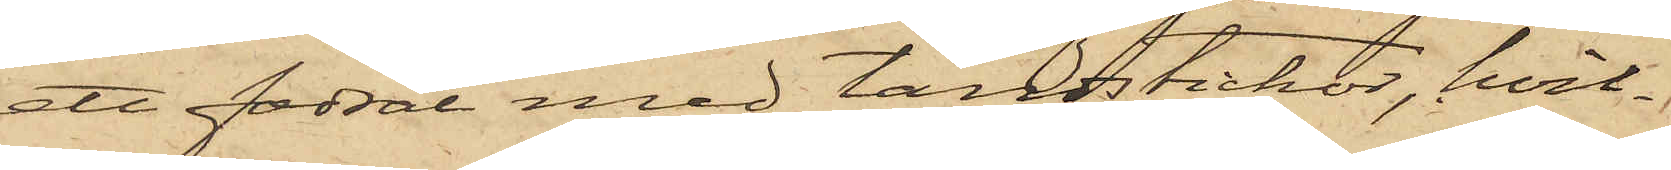att fodral med tändstickor, hvil¬
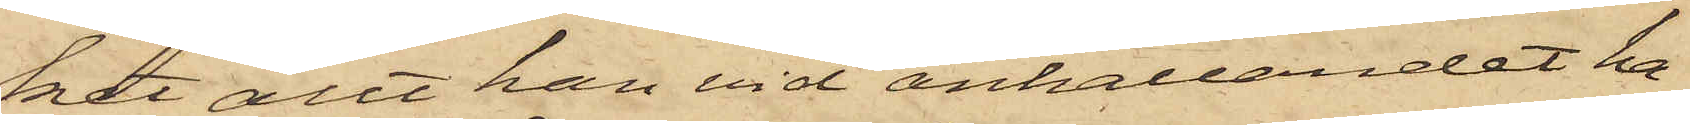ket allt han vid anhållandet ha¬
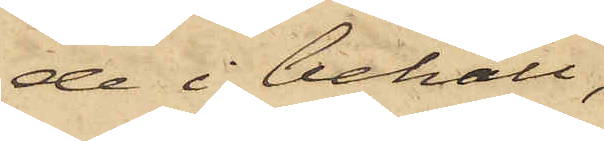de i behåll;
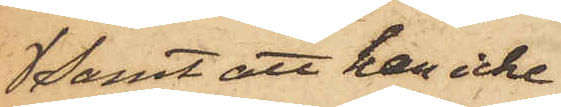 samt att han icke
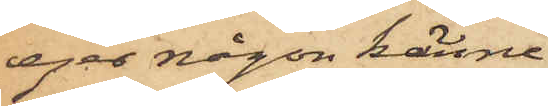eger någon känne¬
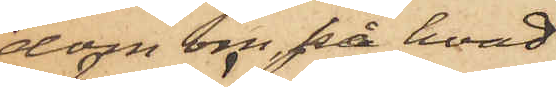dom om, på hvad
